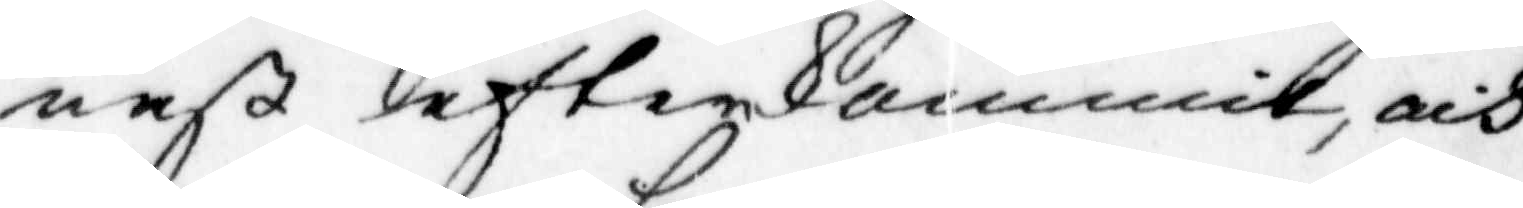nast efterkommit, och
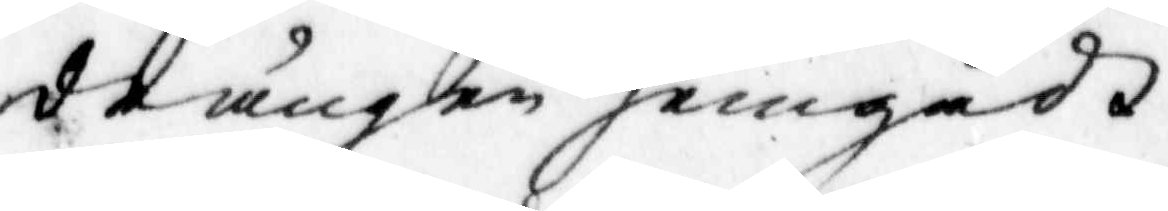drängen hemgådt.
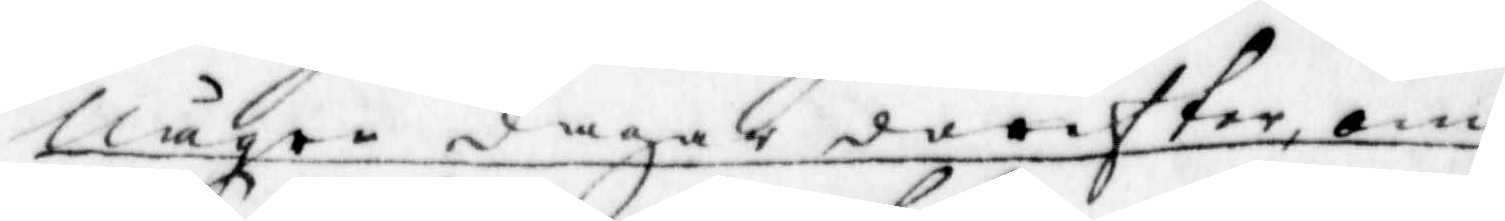Någre dagar derefter, om
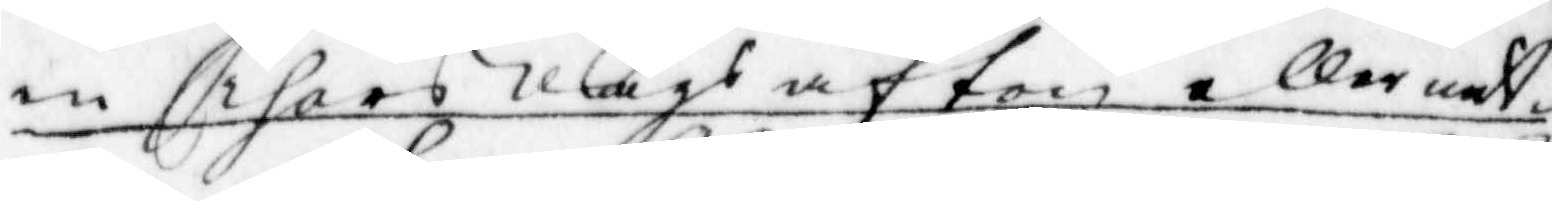en Thorsdags afton eller nat¬
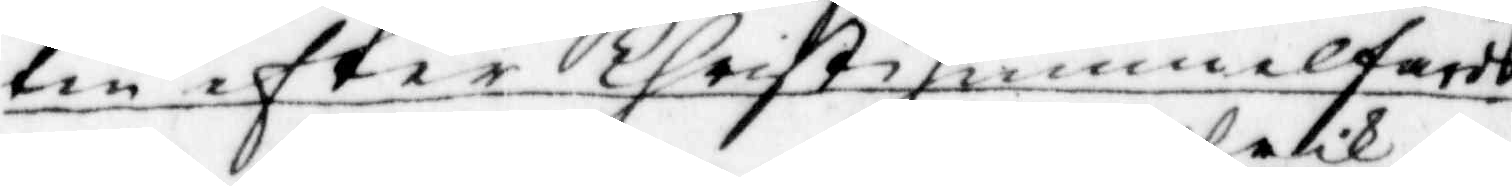ten efter Christihimmelsfards¬
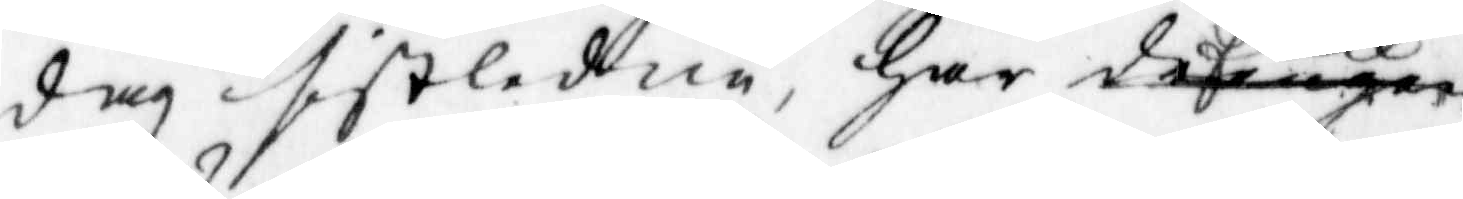dag sistledne, har drängen feik
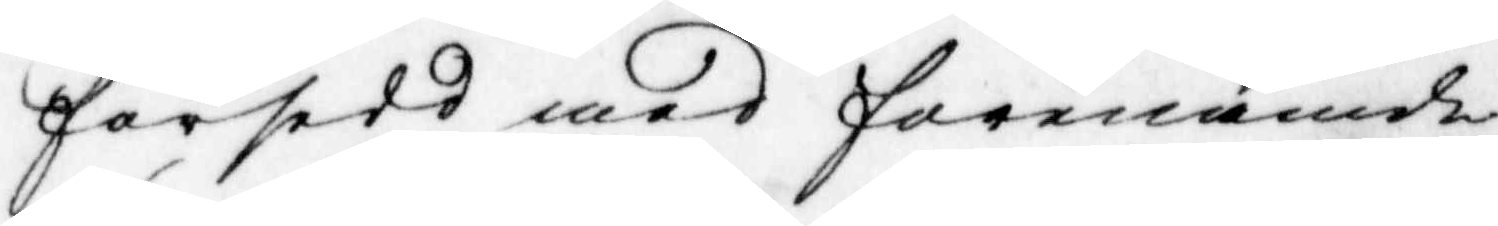försedd med förenämde
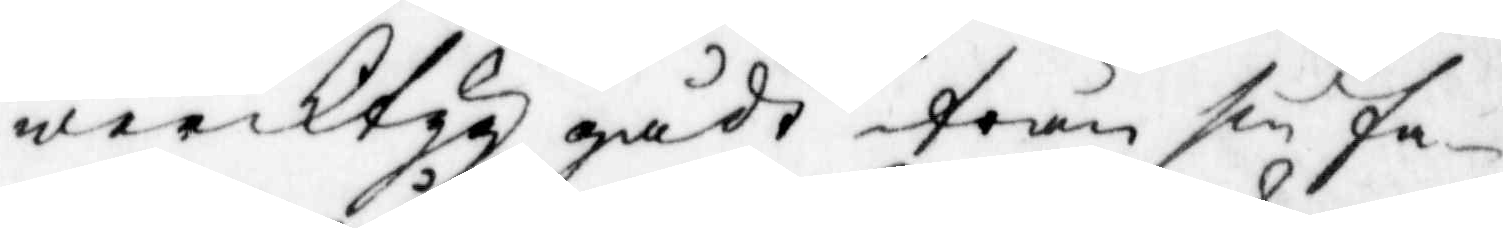wercktyg gådt ifrån sin fa¬
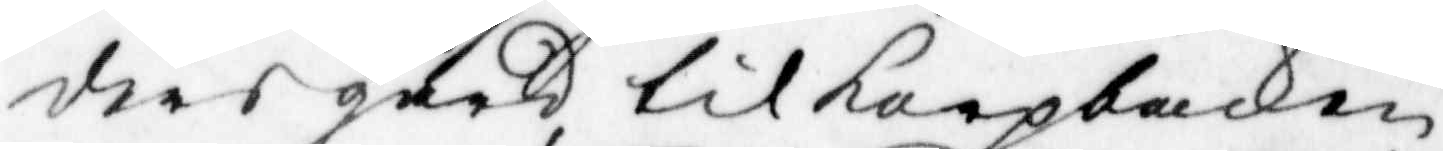ders gård til korpbacken
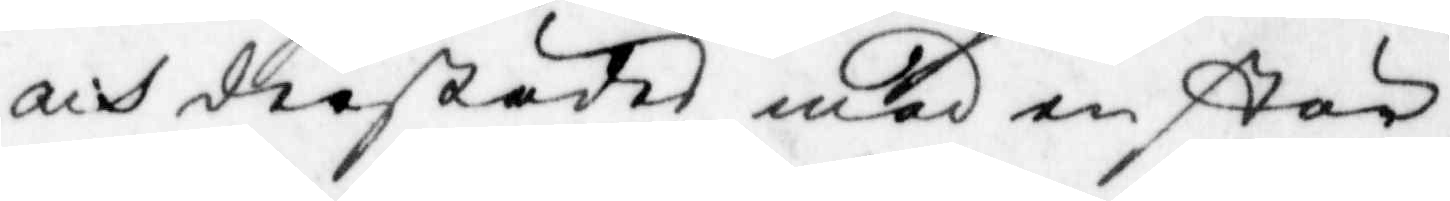och derstädes med en stör
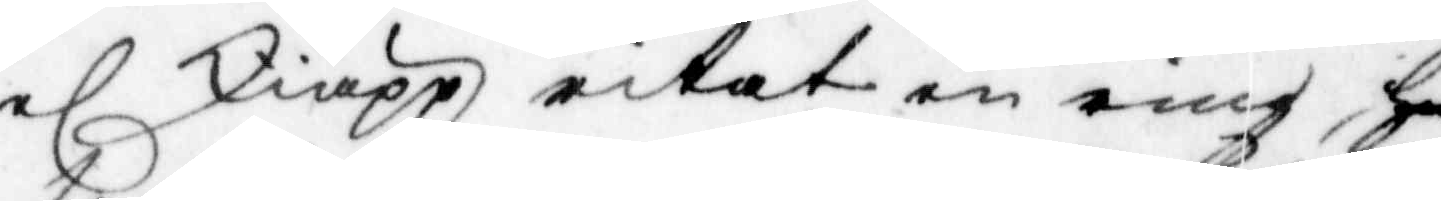el kiäpp ritat en ring, ha
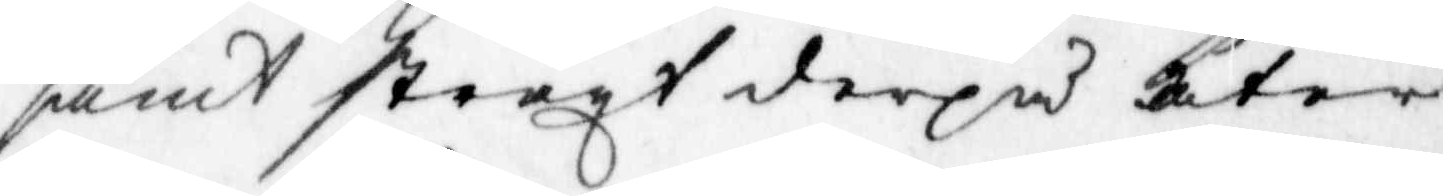samt straxt derpå åter
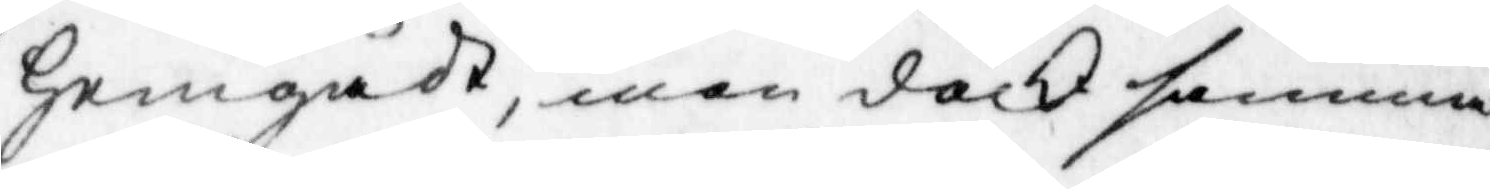hemgådt, men dock samma
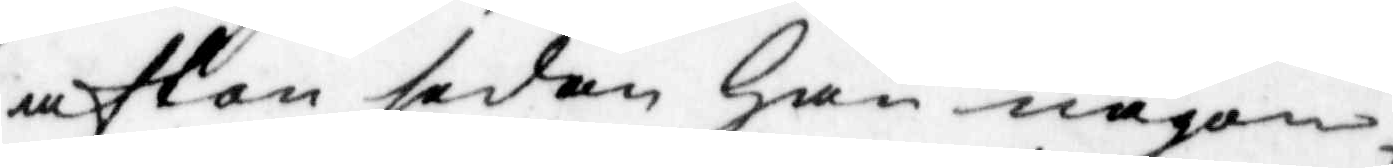afton sedan han någon
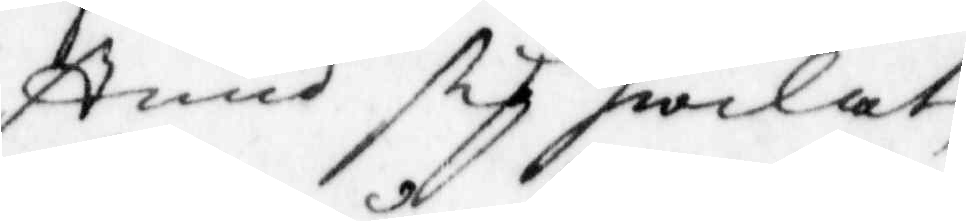stind sig hwilat
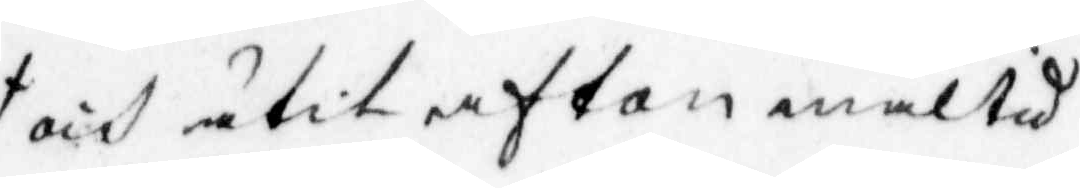och ätir aftonmåltid
